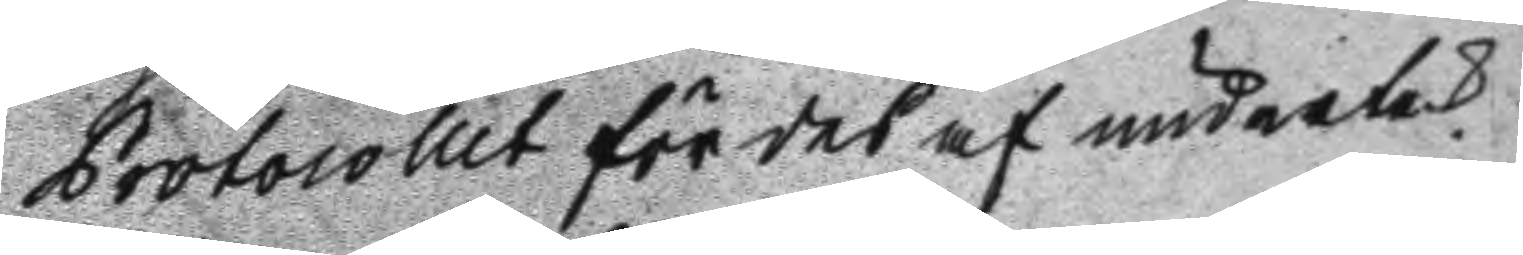Protocollet fördes af undertek
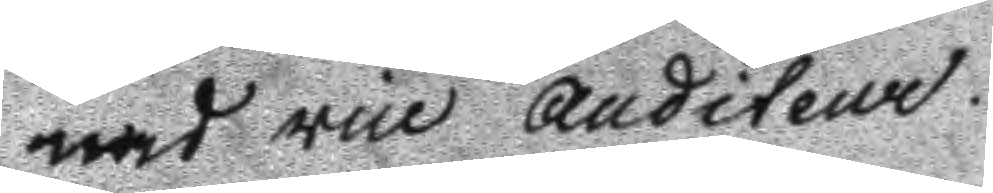nad vice Auditeur.
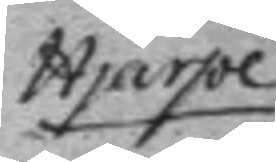Hjärpe
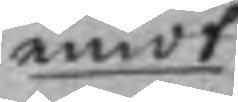emot
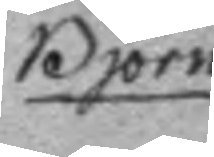Björn
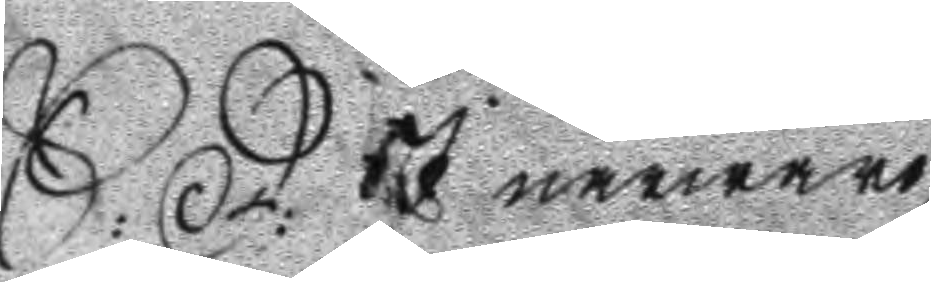S: D: I närwaro
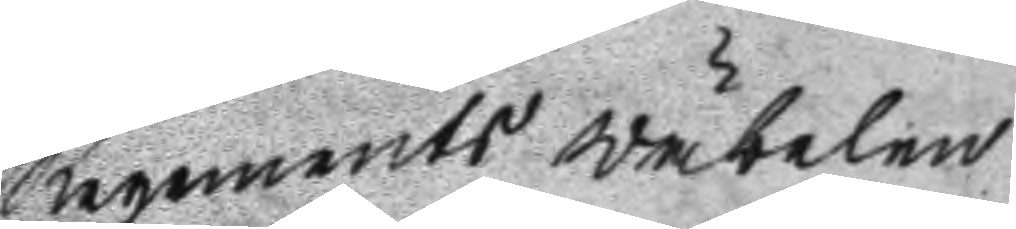Regements wäbelen
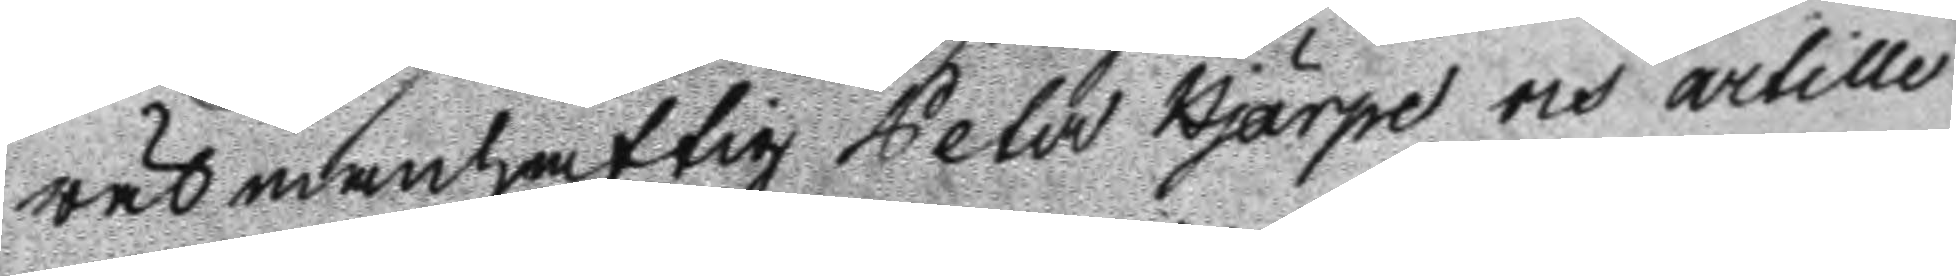wälmanhaftig Pehr Hjärpe och artille
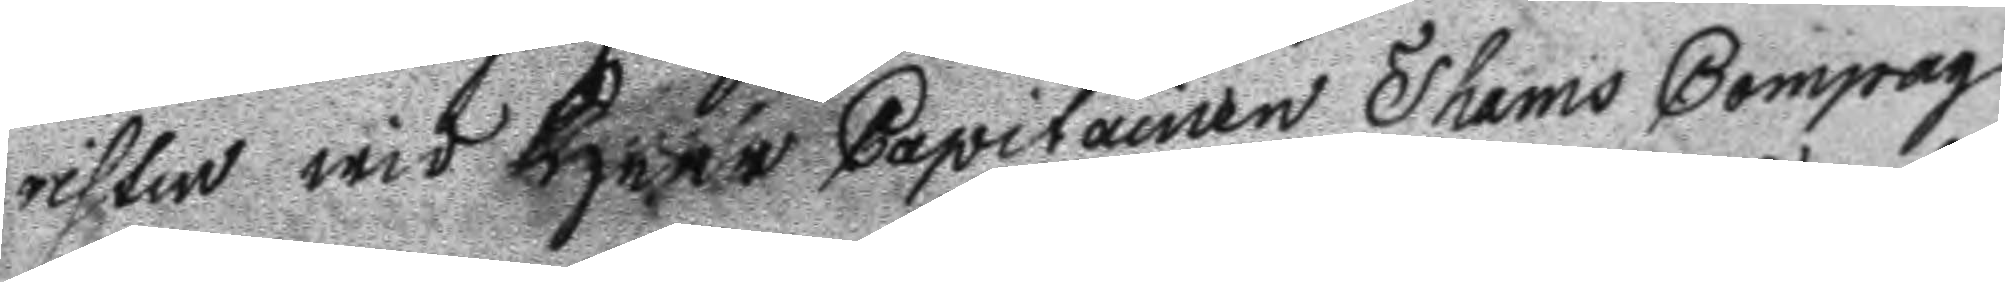risten wid Herr Capitainen Thams Compag
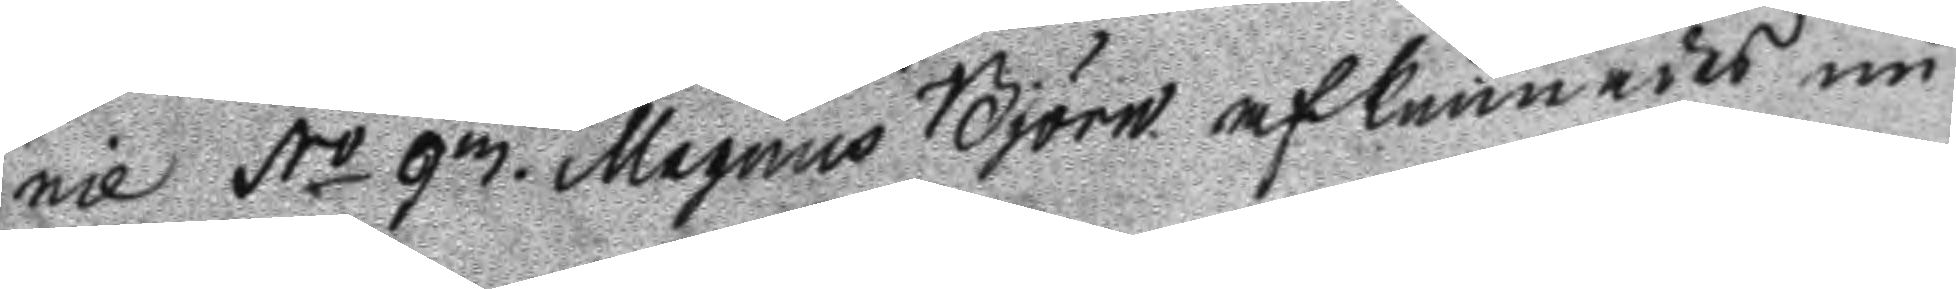nie No 93. Magnus Björn afkunnades nu
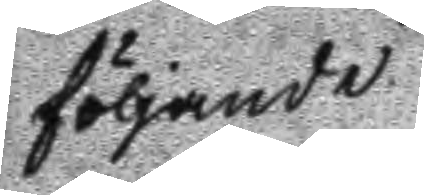följande
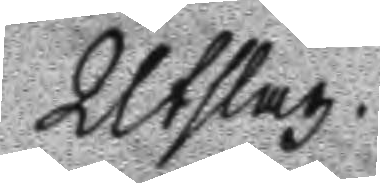Utslag.
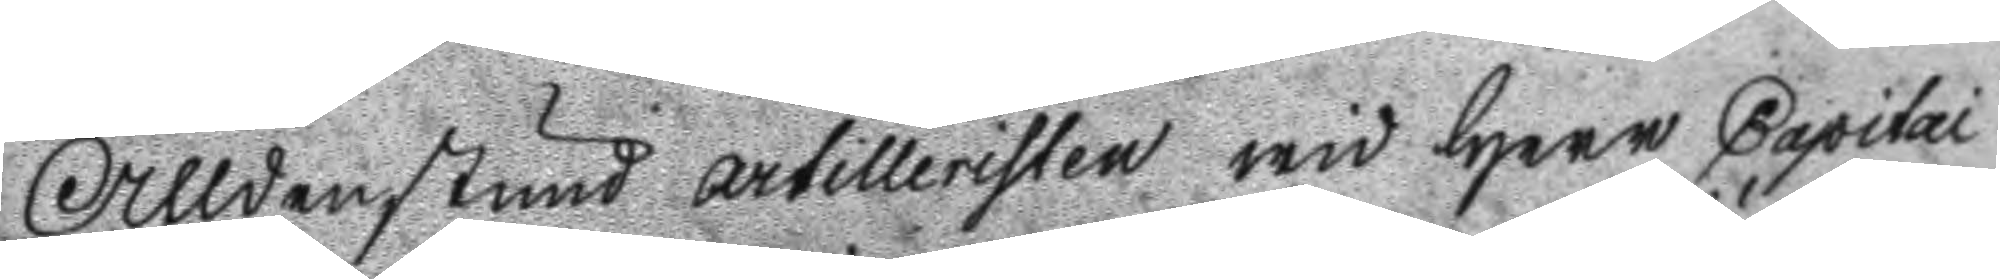Alldenstund artilleristen wid Herr Capitai
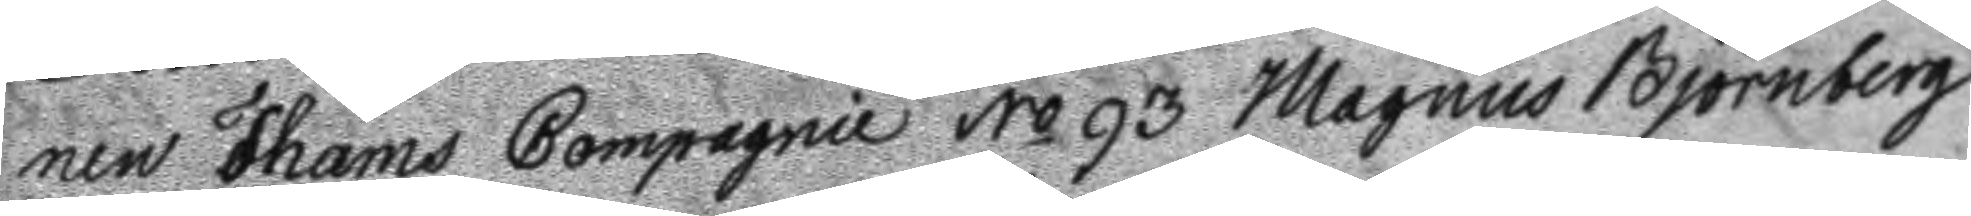nen Thams Compagnie No 93 Magnus Björnberg
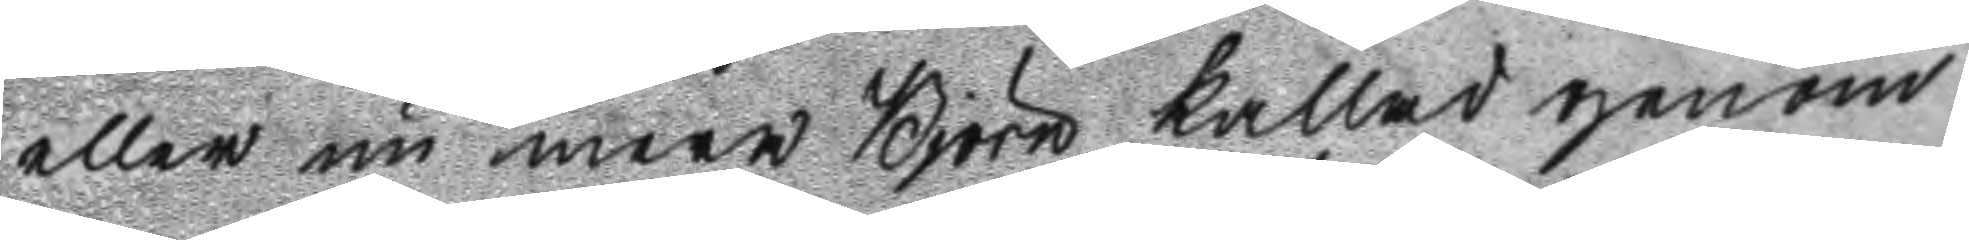eller nu mera Björn kallad genom
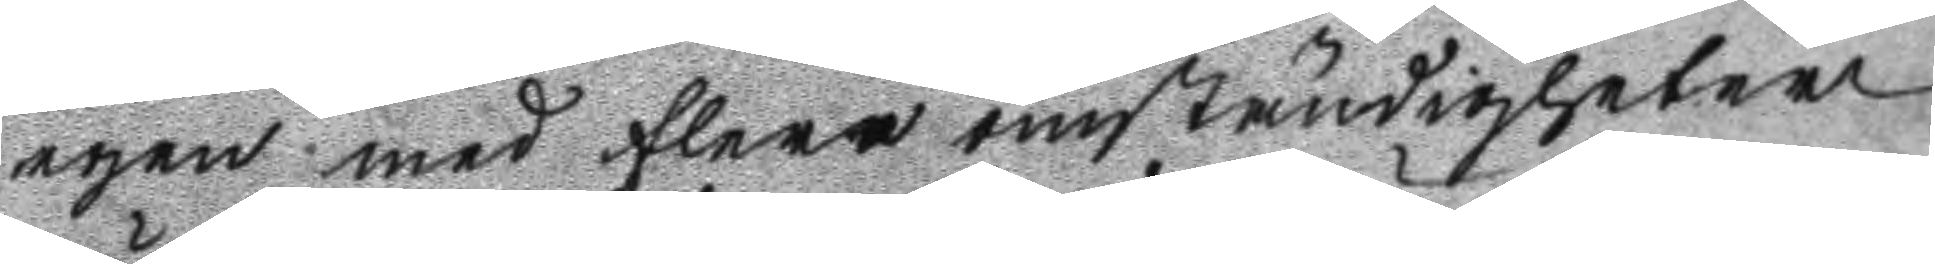egen med flera omständigheter
